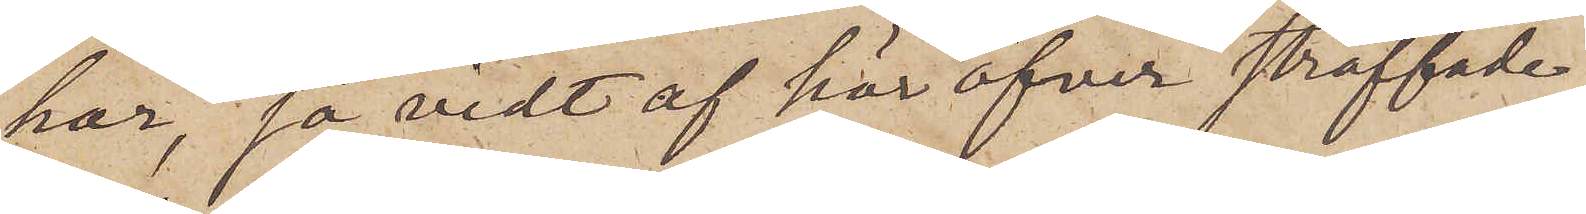har, så vidt af här öfver straffade
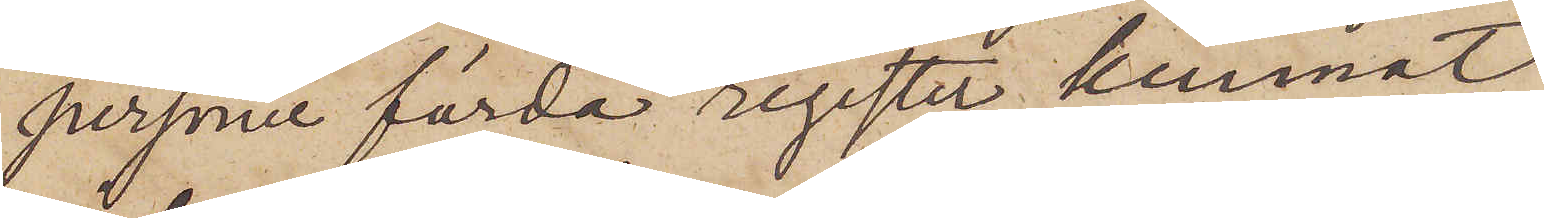personer förda register kunnat
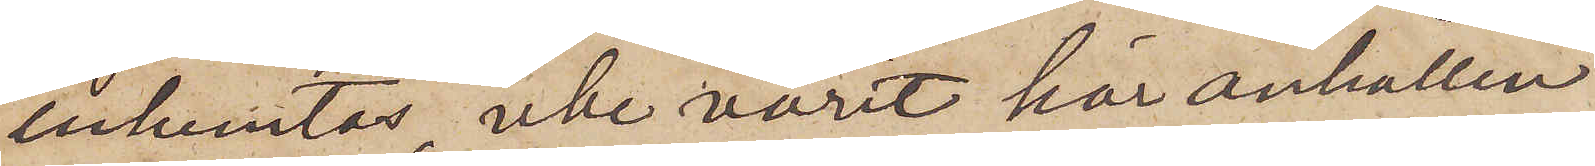inhemtas, icke varit här anhållen
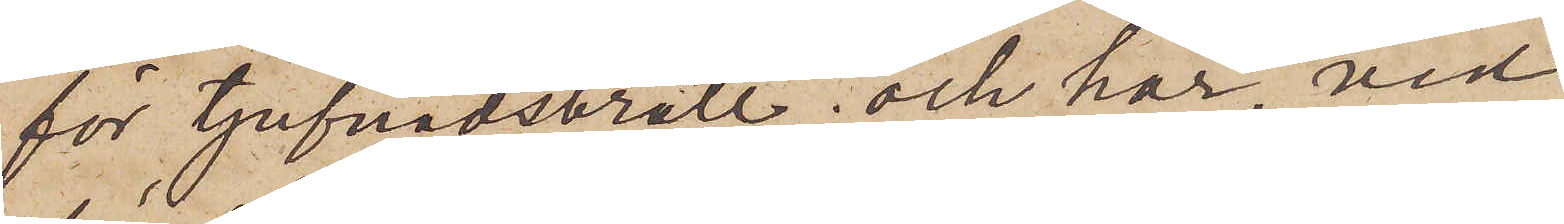för tjufnadsbrott; och har, vid
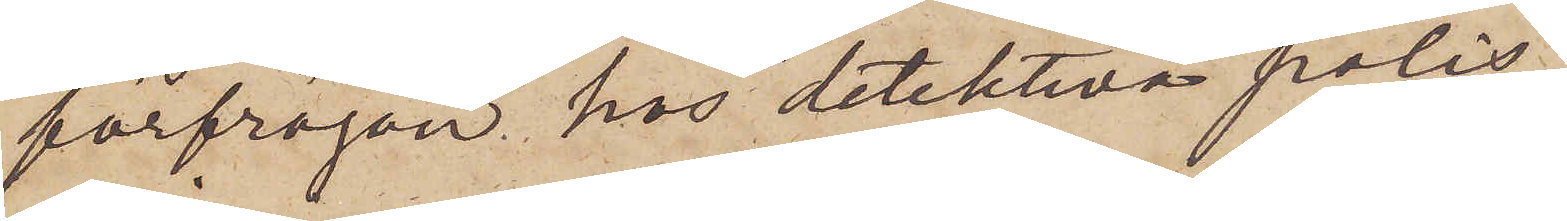förfrågan hos detektiva polis¬
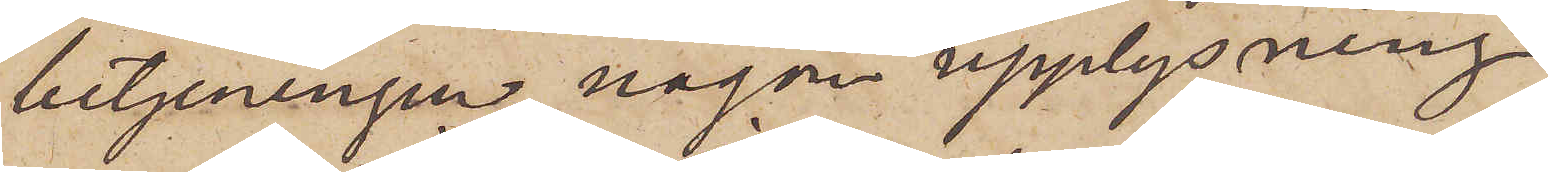betjeningen, någon upplysning
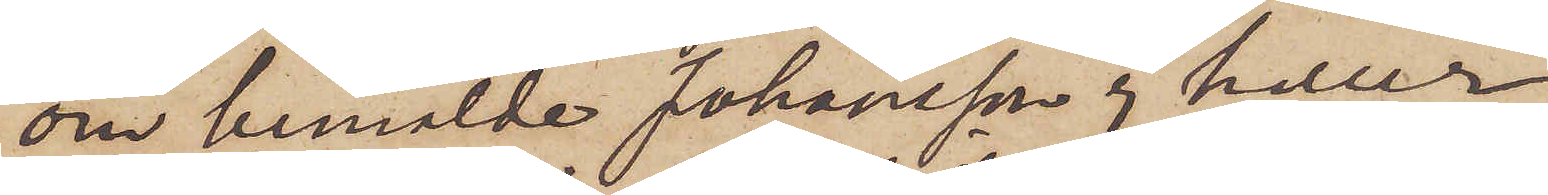om bemälde Johansson ej heller
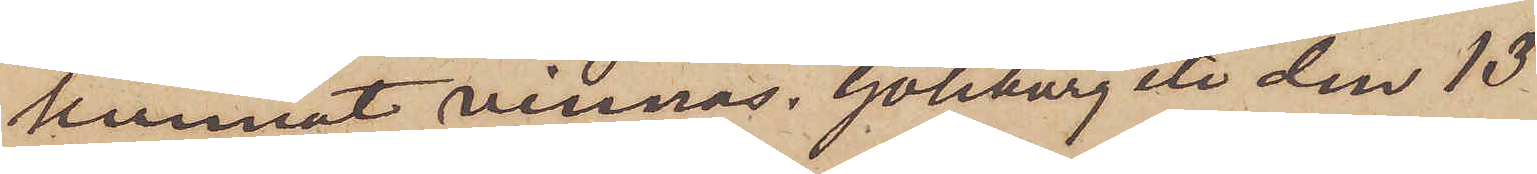kunnat vinnas. Göteborg etc den 13
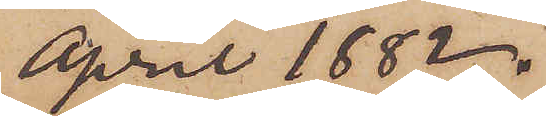April 1882.
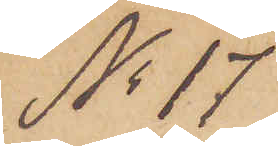No 17
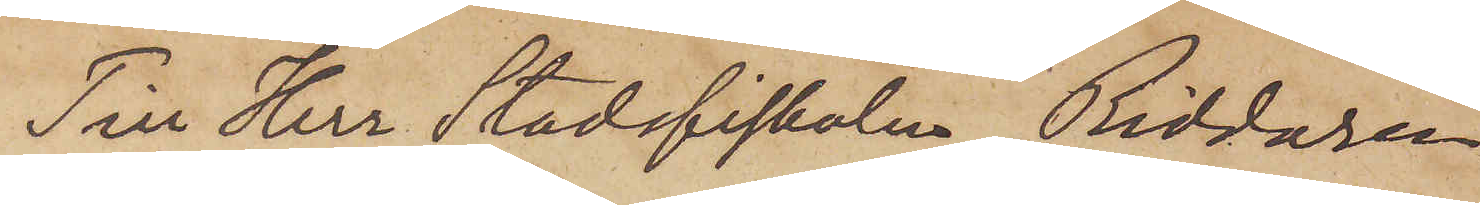Till Herr Stadsfiskalen, Riddaren
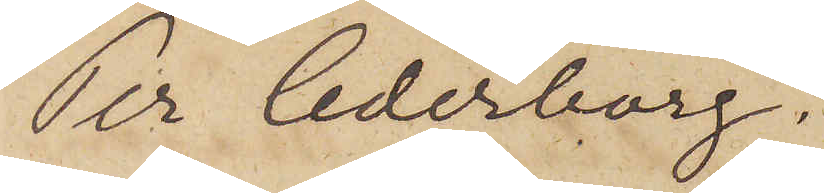Per Cederborg.
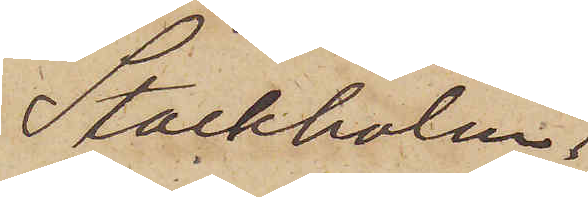Stockholm.
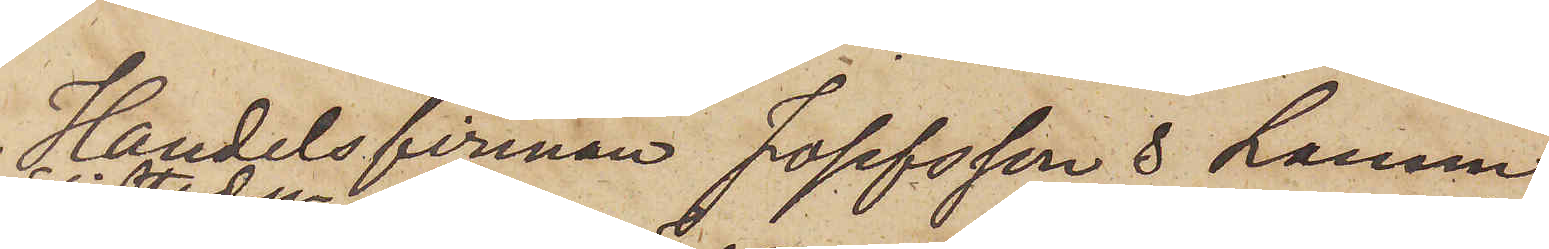Handelsfirman Josefsson & Larsson
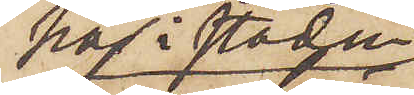här i staden
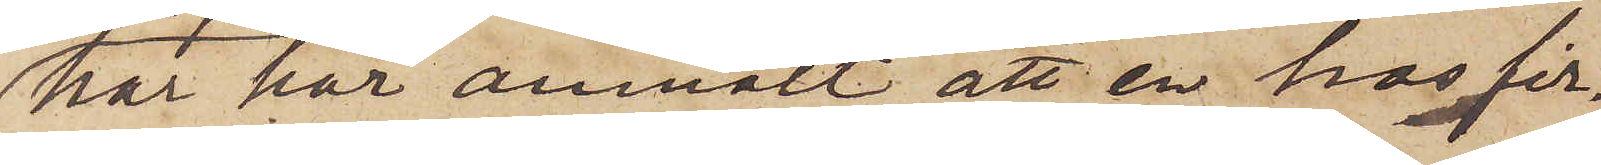har här anmält att en hos fir¬
